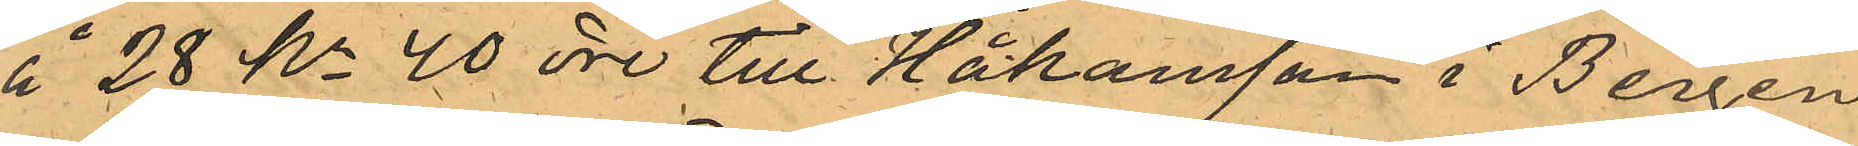å 28 Kr 40 öre till Håkansson i Bergen
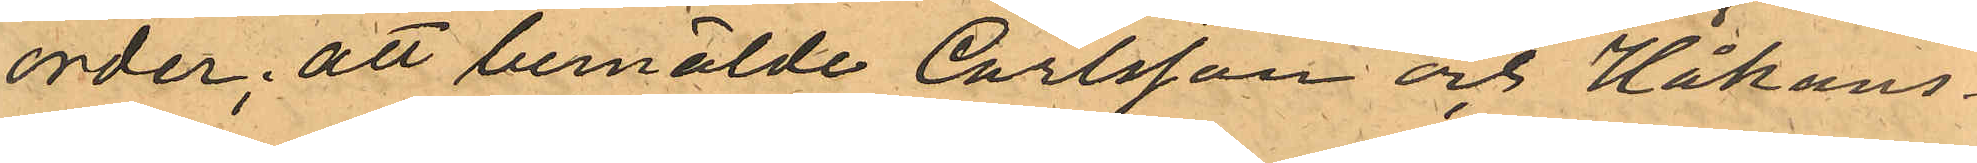order; att bemälde Carlsson och Håkans¬
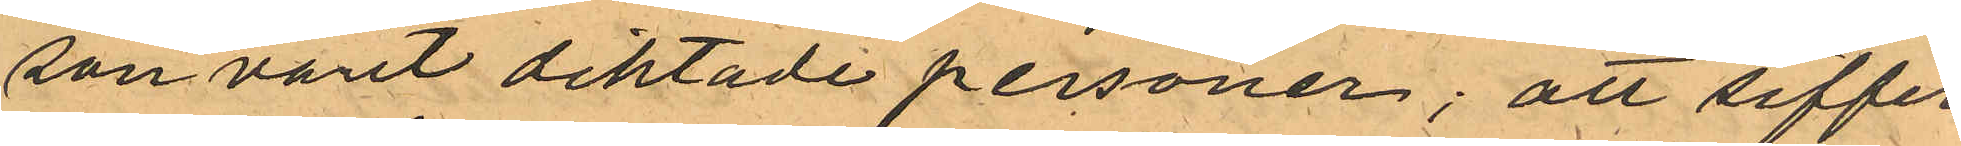son varit diktade personer; att siffer¬
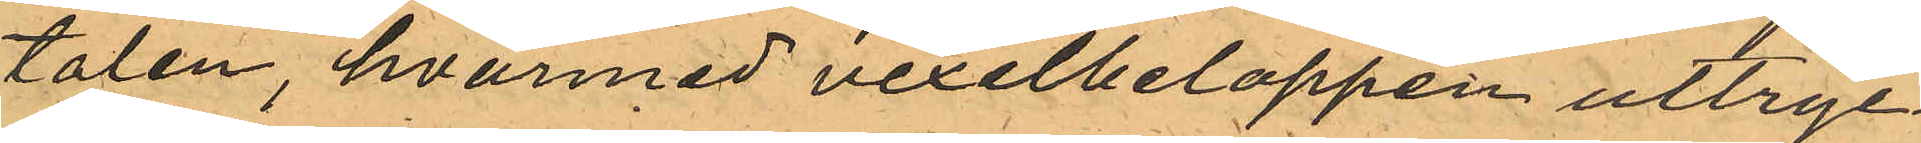talen, hvarmed vexelbeloppen uttryc¬
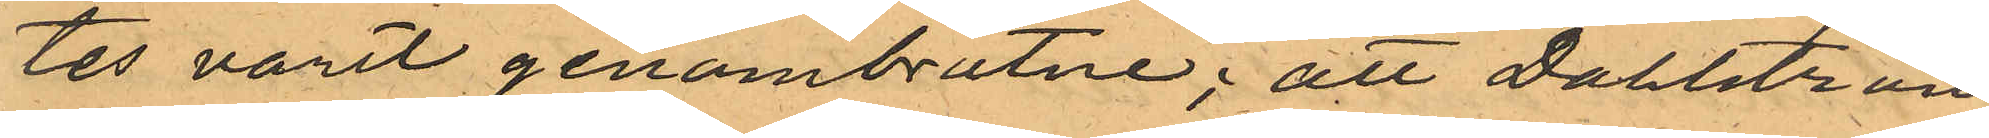tes varit genombrutne; att Dahlström
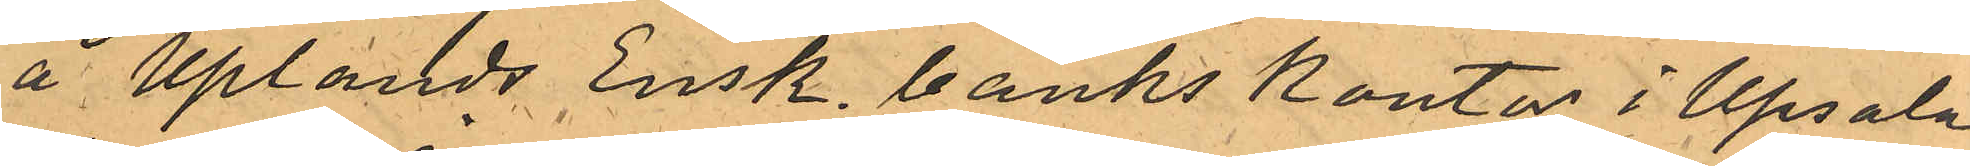å Uplands Ensk. banks kontor i Upsala
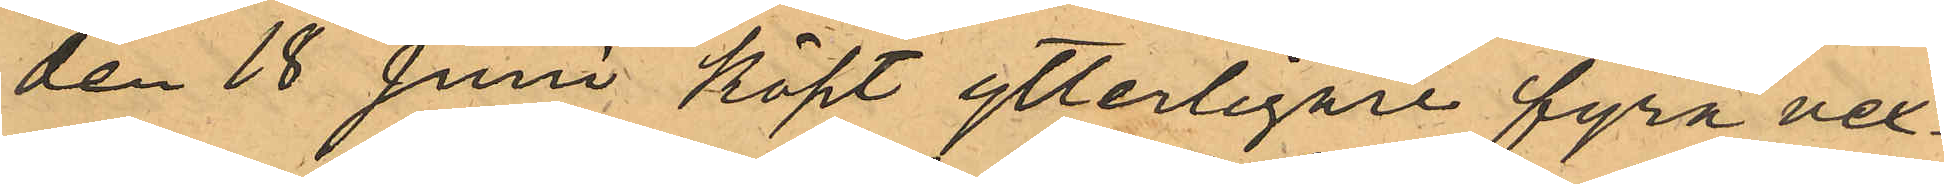den 18 Juni köpt ytterligare fyra vex¬
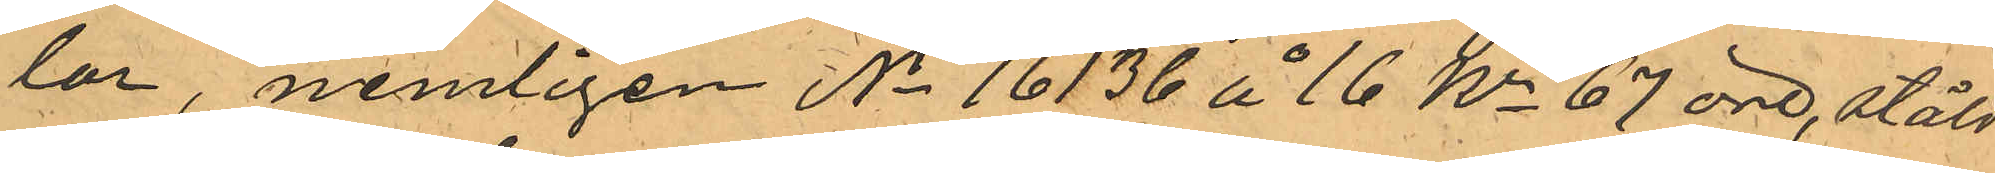lar, nemligen No 16136 å 16 Kr 67 öre, stäld
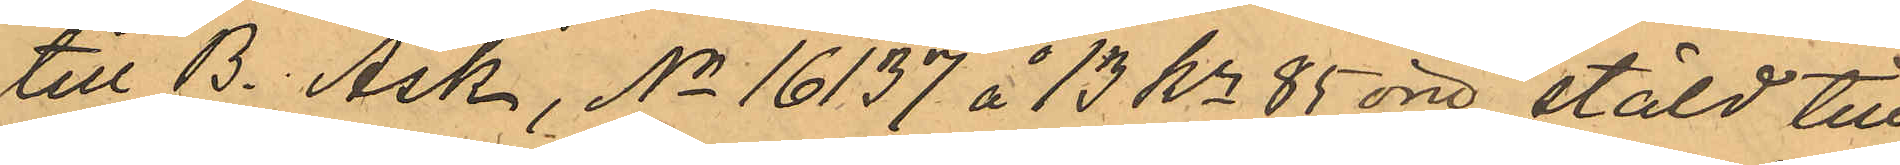till B. Ask, No 16137 å 13 Kr 85 öre, stäld till
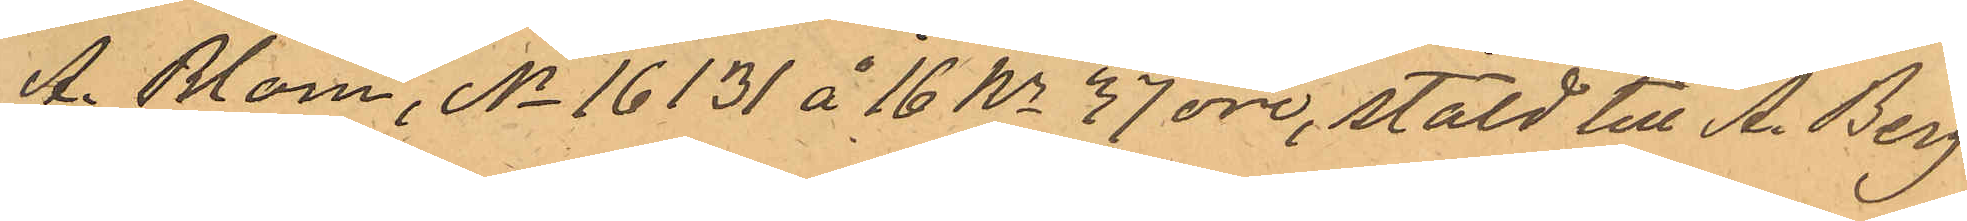A. Blom, No 16131 å 16 Kr 37 öre, stäld till A. Berg
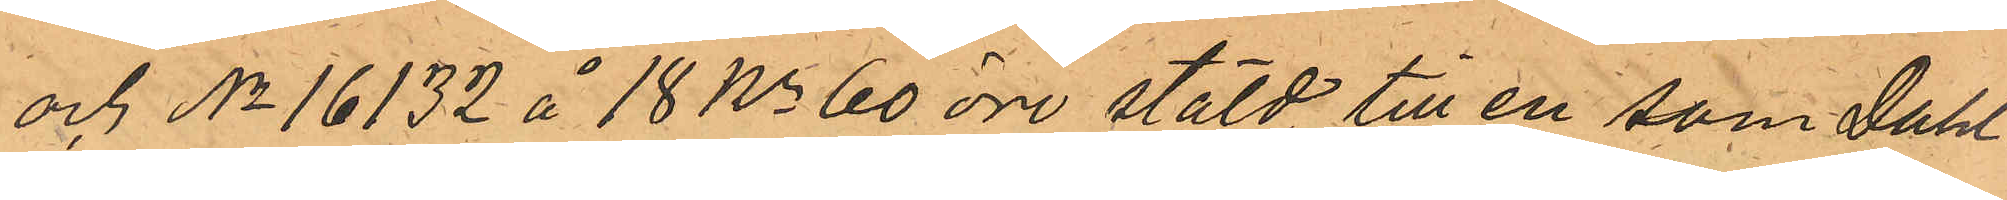och No 16132 å 18 Kr 60 öre stäld till en som Dahl¬
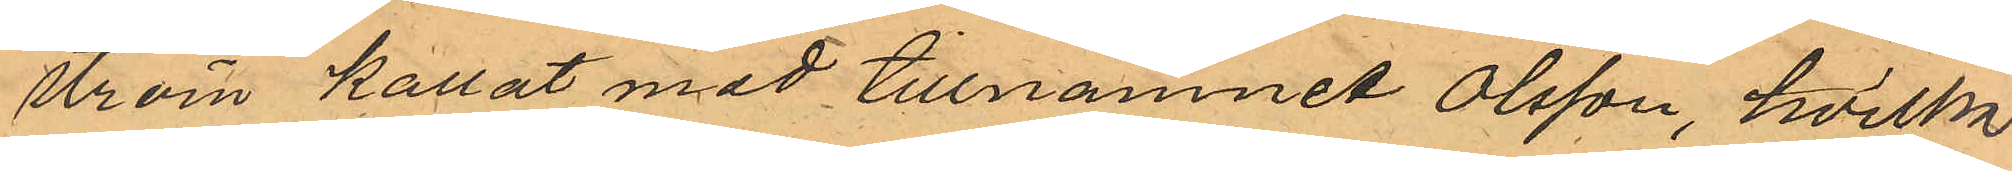ström kallat med tillnamnet Olsson, hvilka
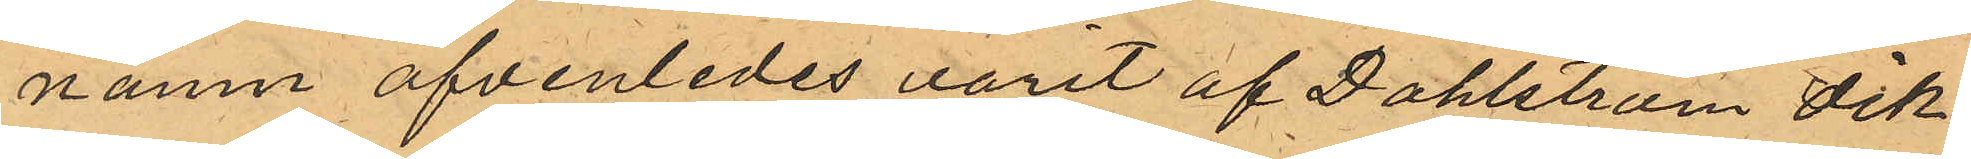namn äfvenledes varit af Dahlström dik¬
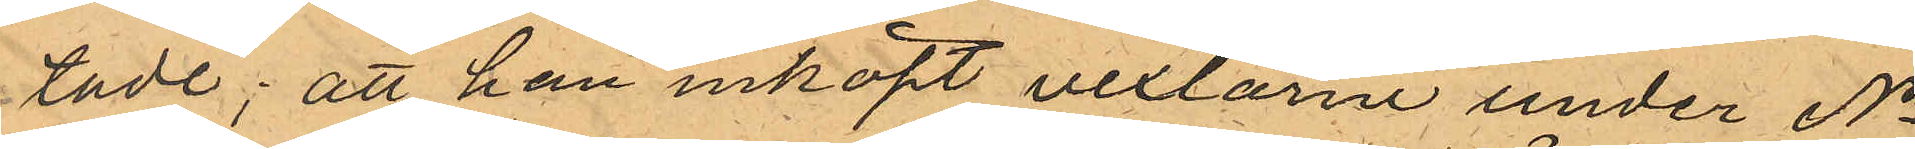tade; att han inköpt vexlarne under No
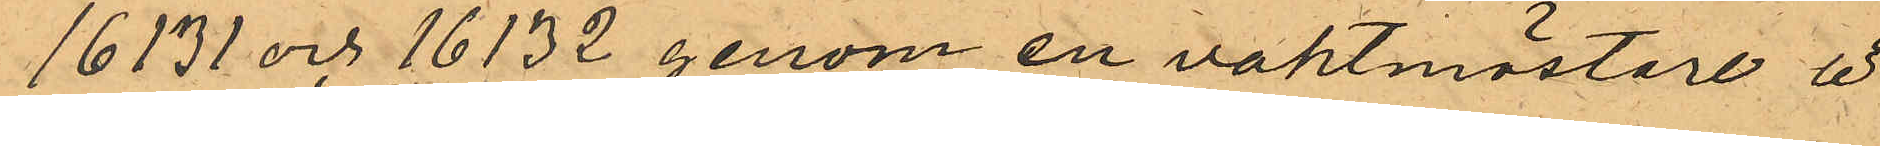16131 och 16132 genom en vaktmästare å
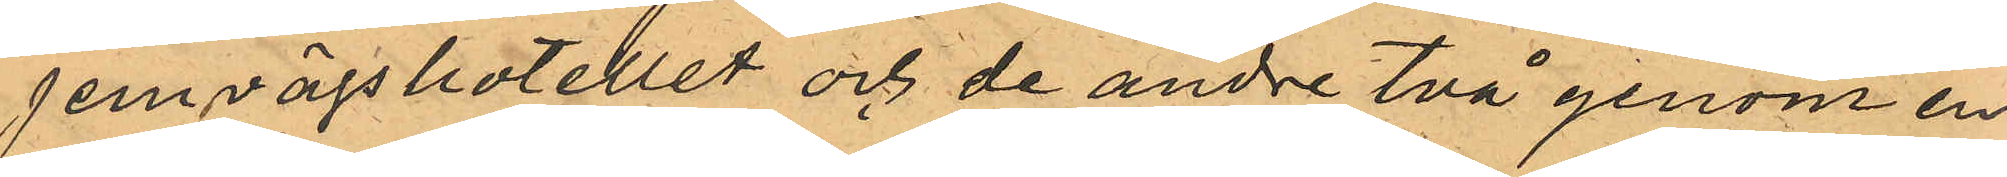Jernvägshotellet och de andre två genom en
